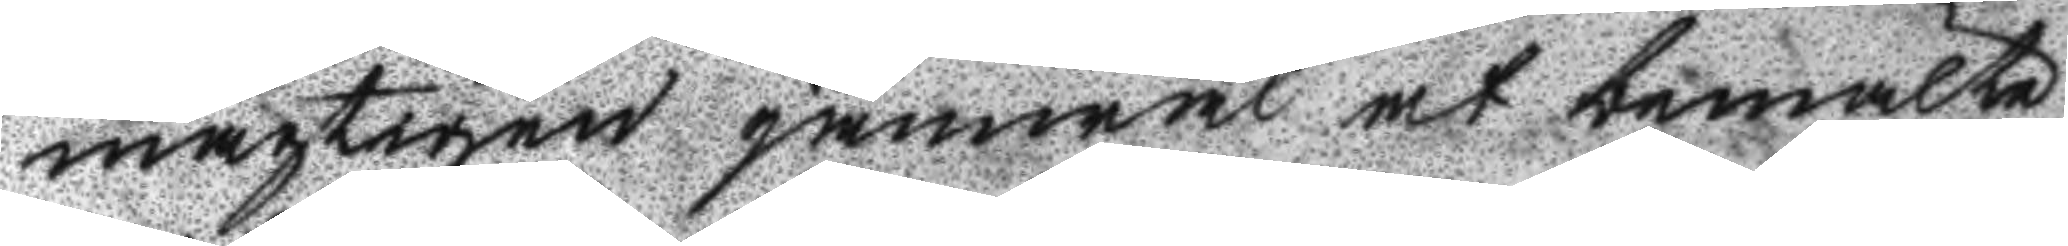mägtigen jämwäl at bemälte
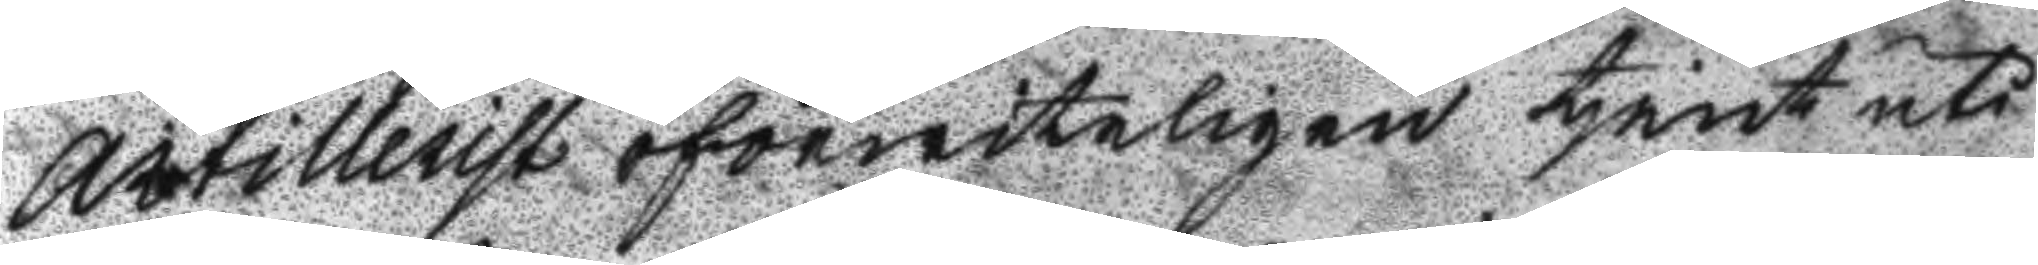Artillerist oförwiteligen tjent uti
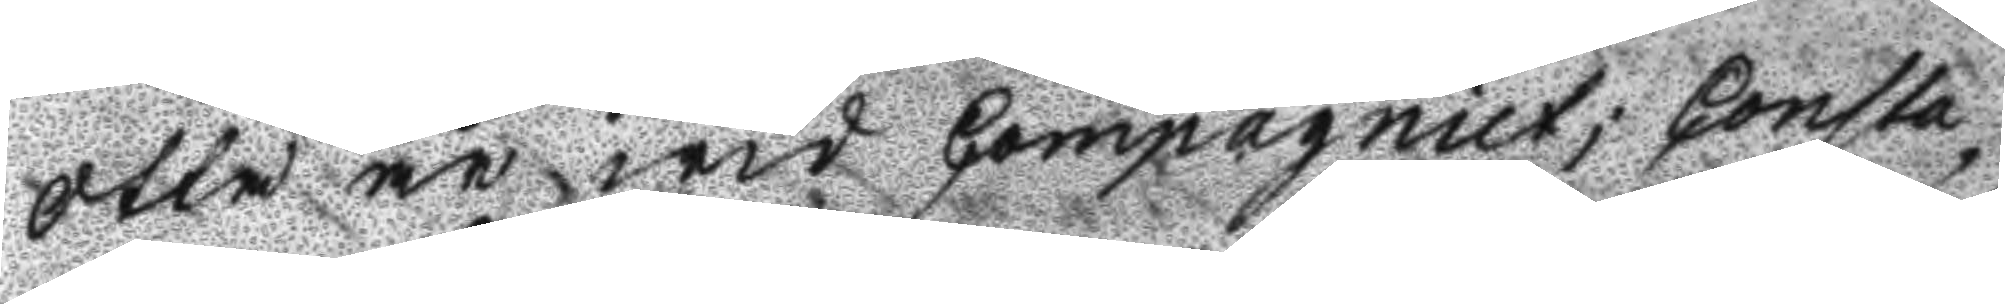otta år wid Compagniet; Consta¬
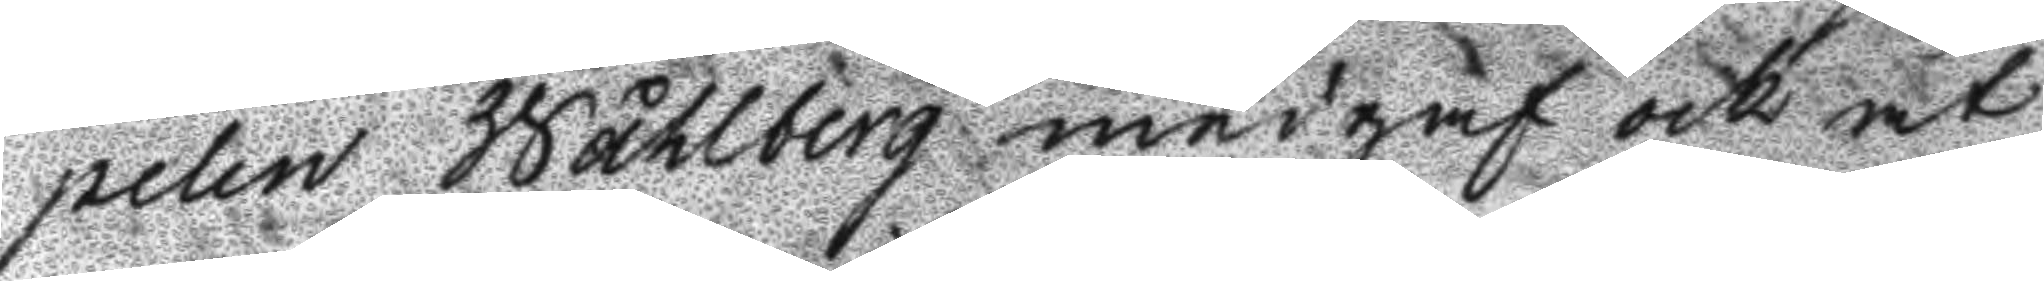pelen Wåhlberg medgaf och at
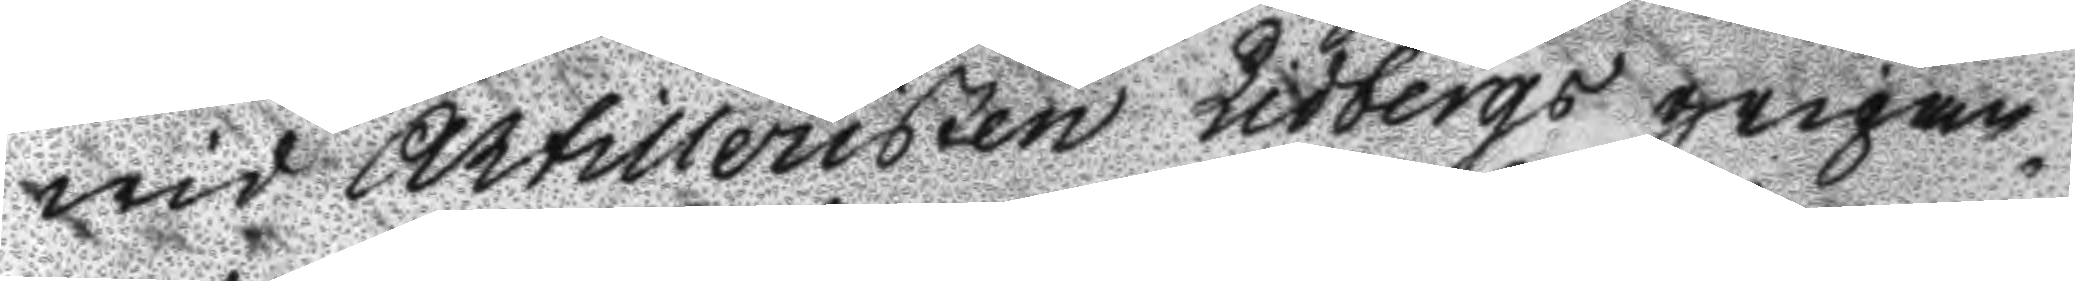wis Artilleristen Lidbergs gripan¬
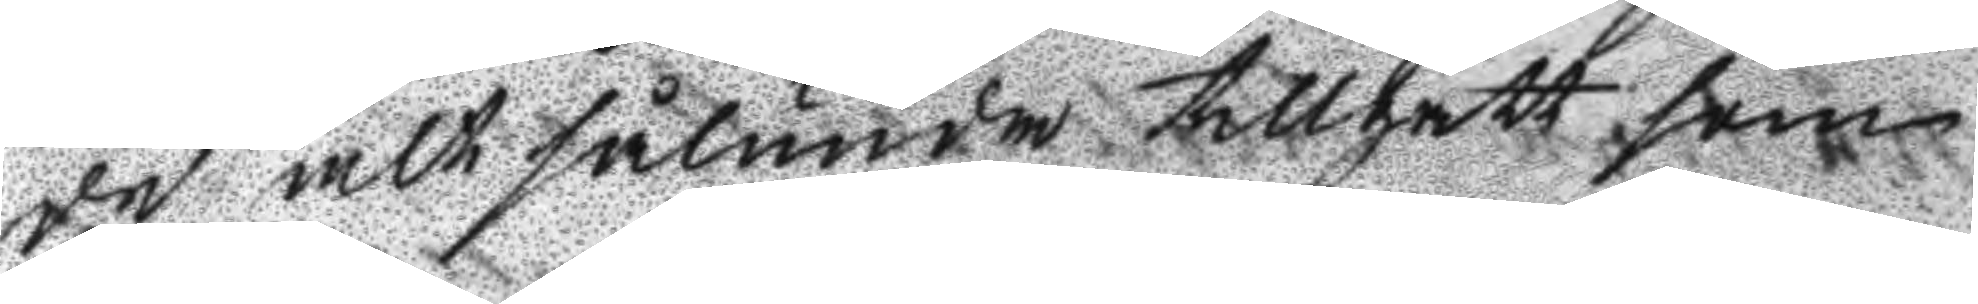de alt sålunda tillgått som
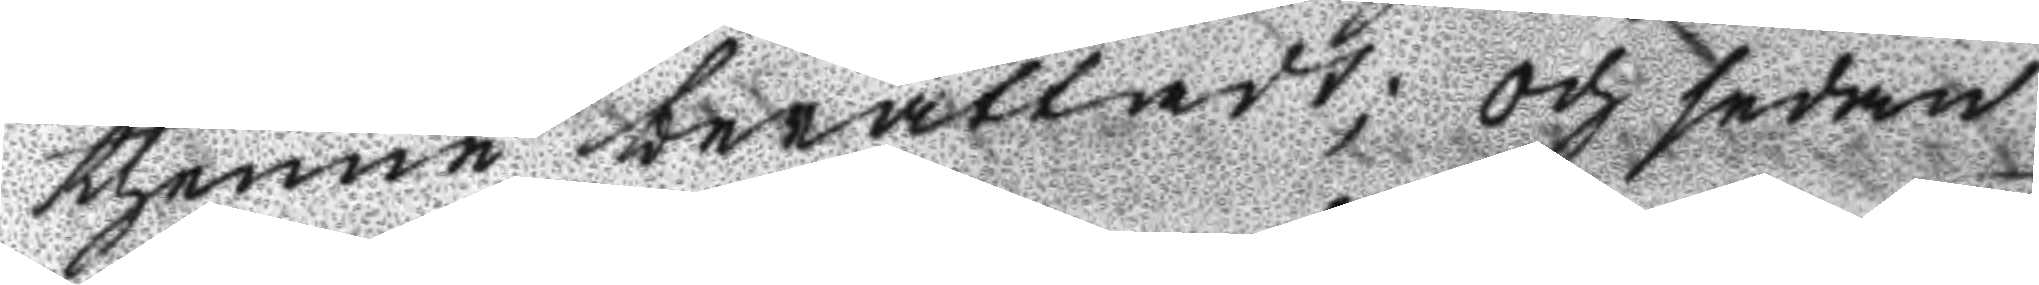thenne berättadt; och sedan
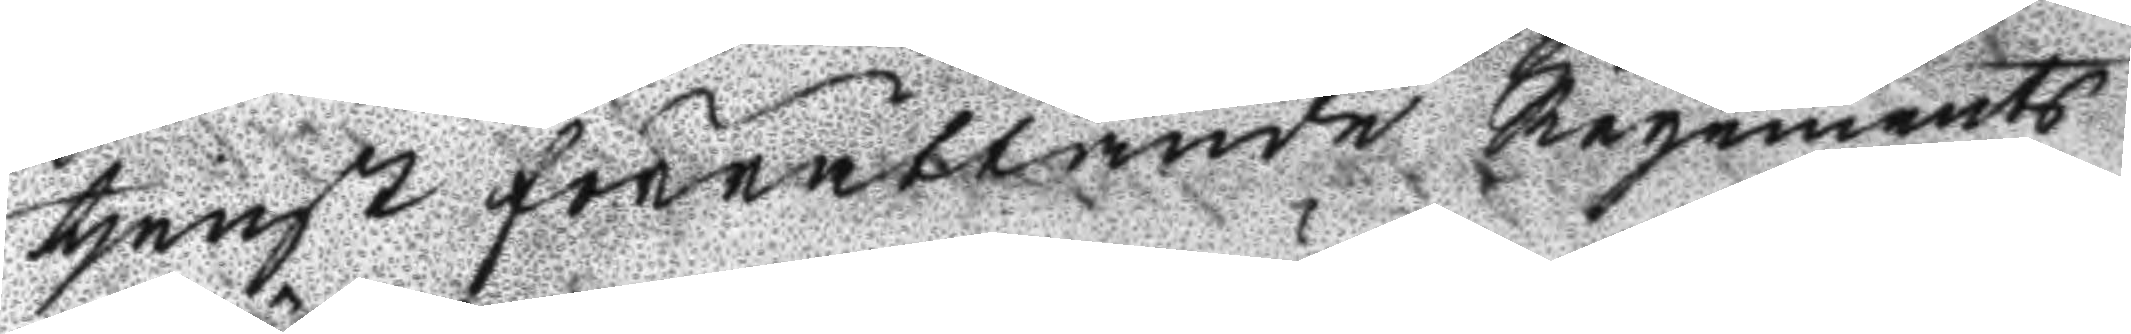tjenst förrättande Regements
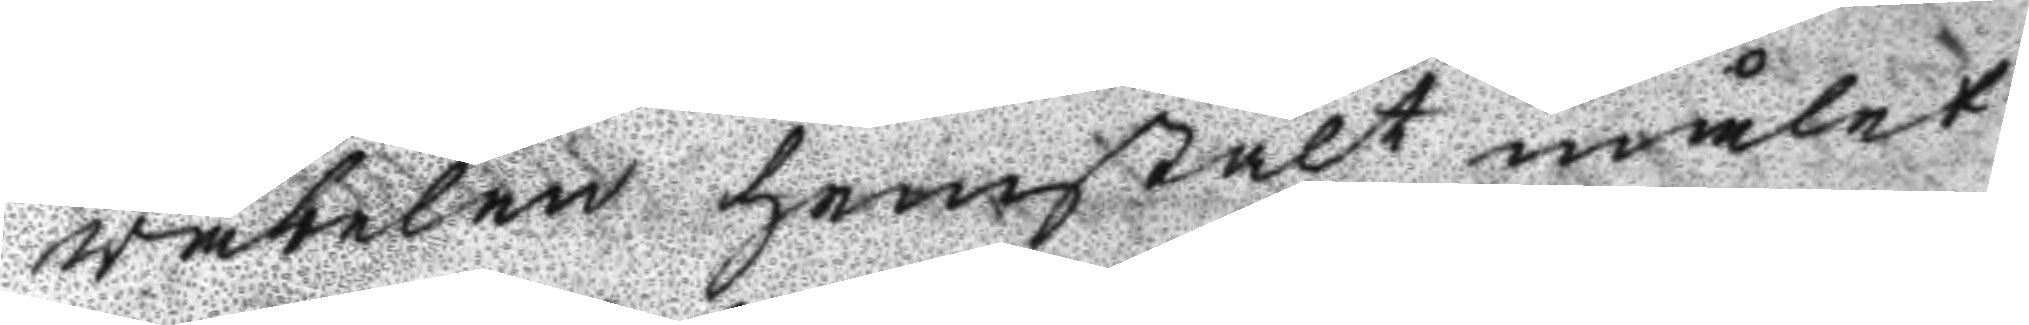väbelen hemstält målet
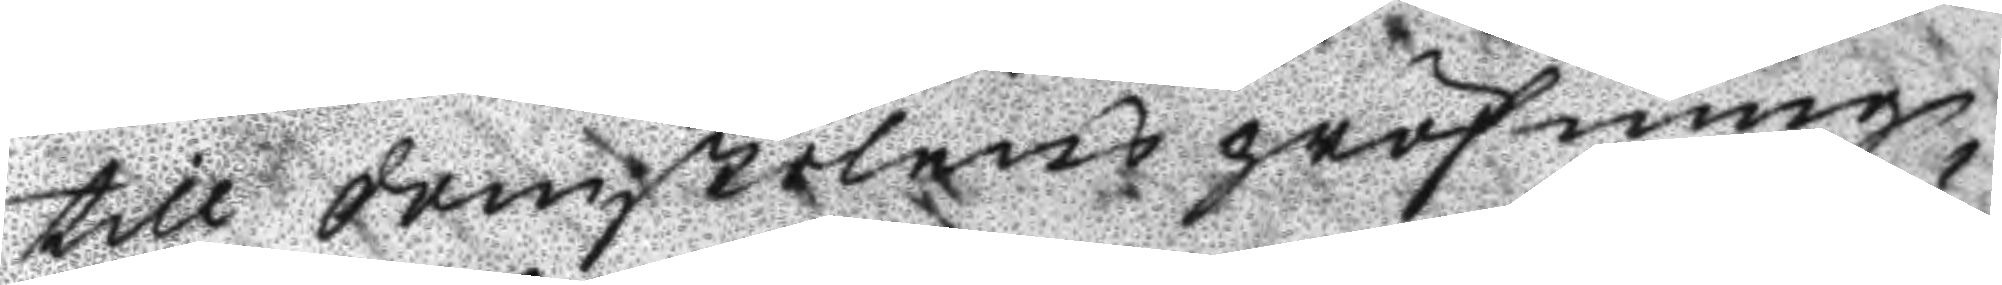till domstolens pröfning,
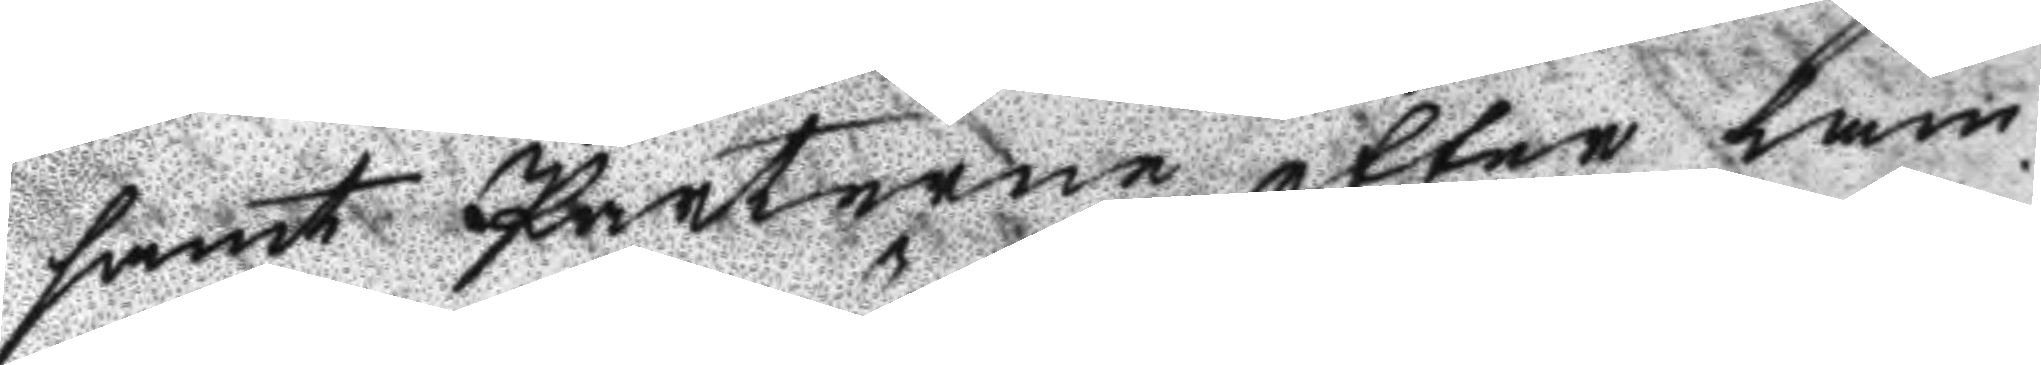samt Parterne efter läm¬
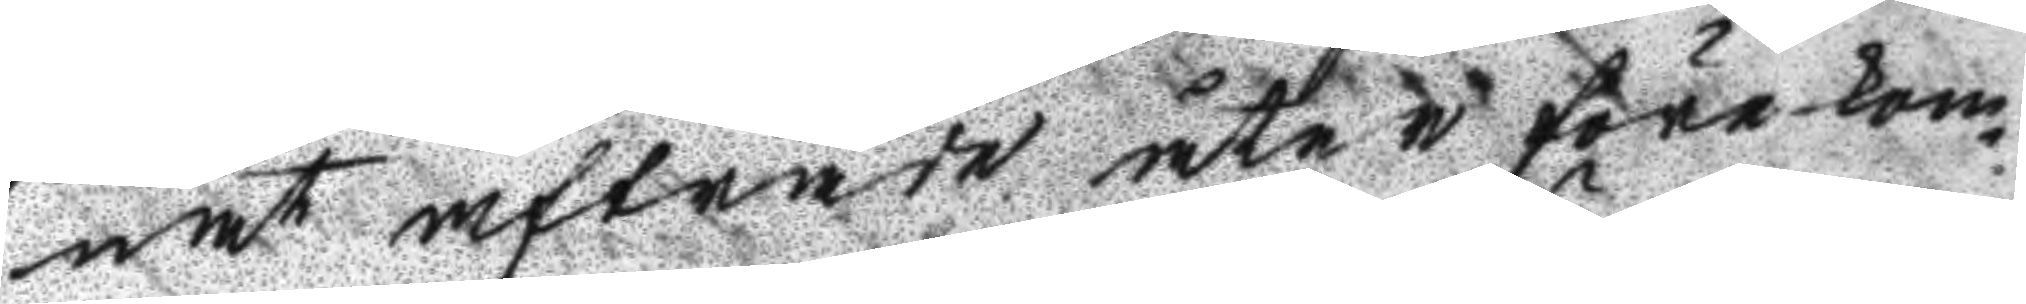nat afträde åter förekom¬
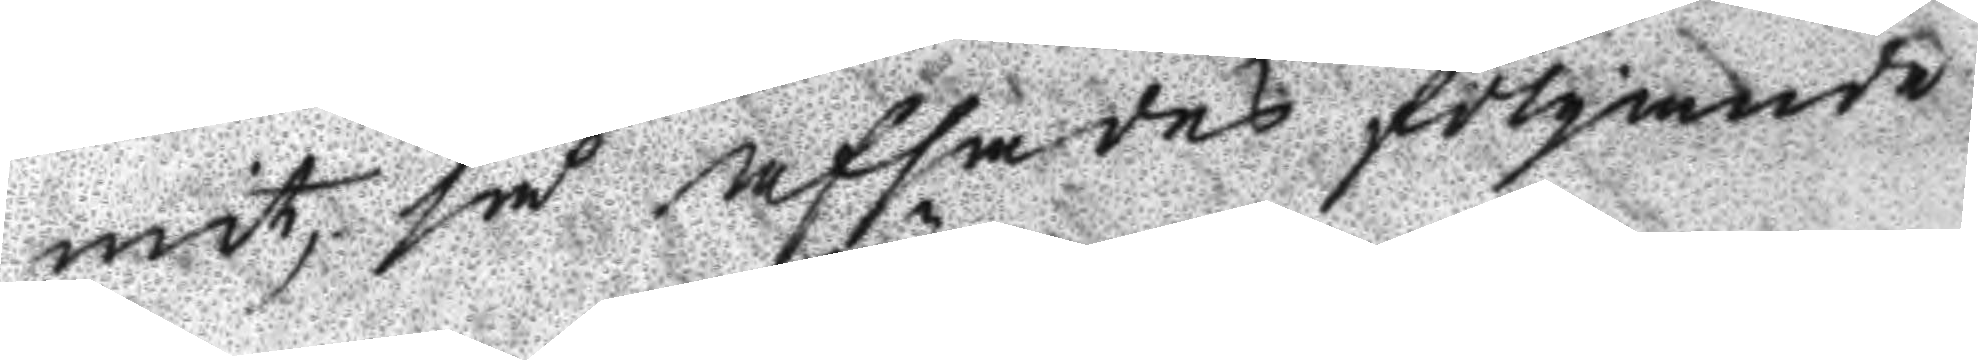mit, så afsades fölgande
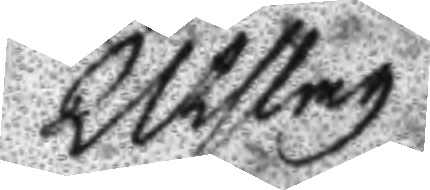Utslag
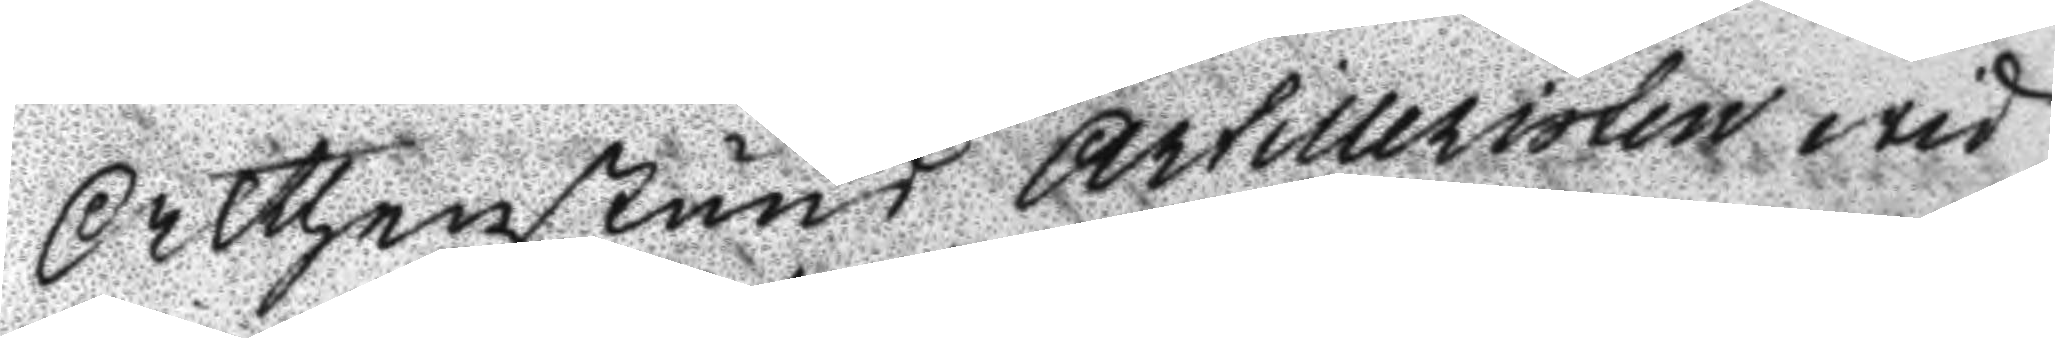Althenstund Artilleristen wid
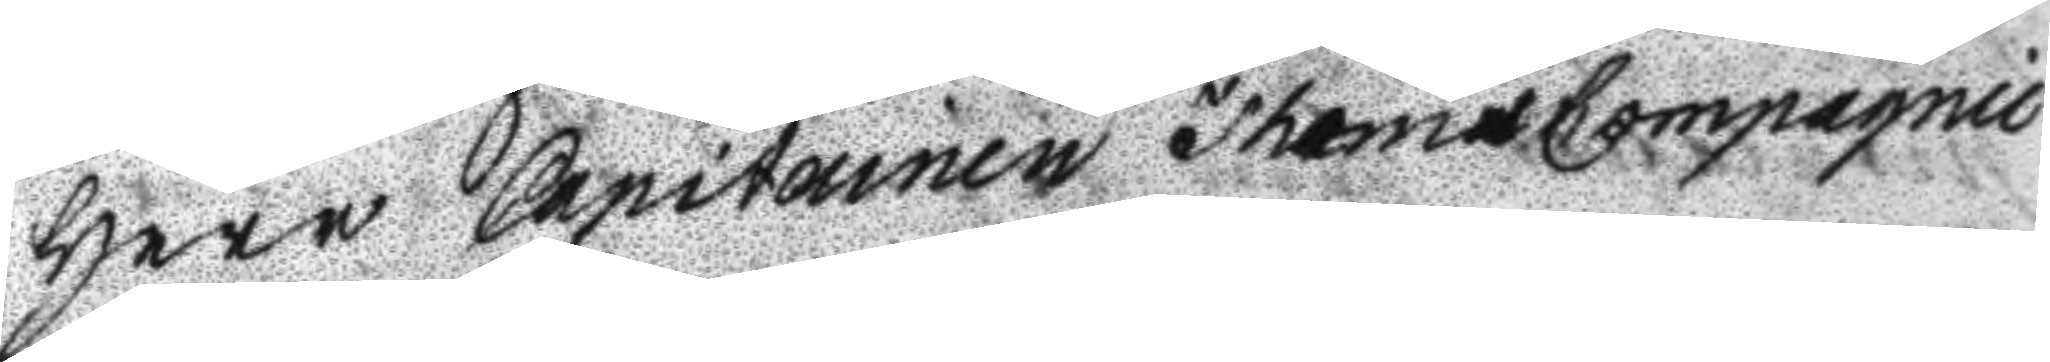Herr Capitainen Thams Compagnie
